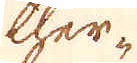ther-
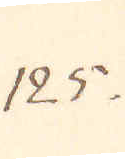125.
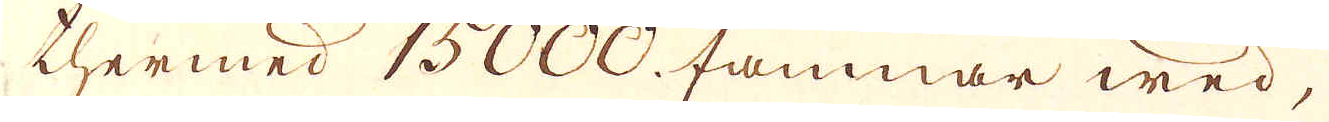thermed 15000. famnar wed,
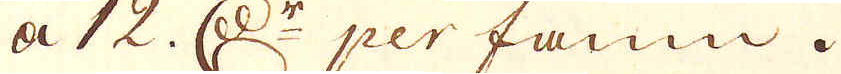a 12 d:r per famn.
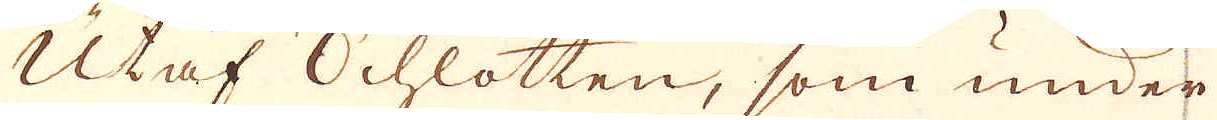Utaf Schlotten, som under
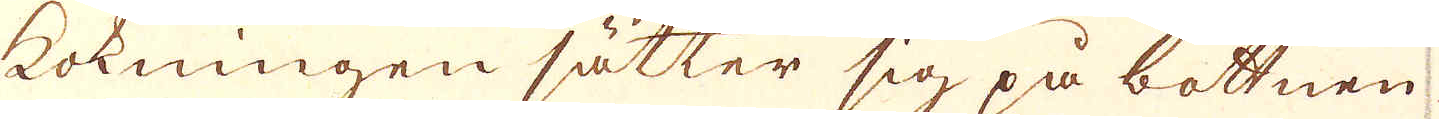kokningen sätter sig på bottnen
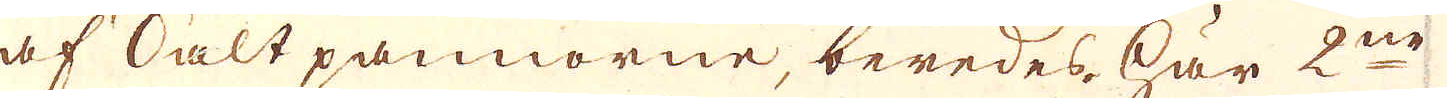af Saltpannorne, beredes här 2ne
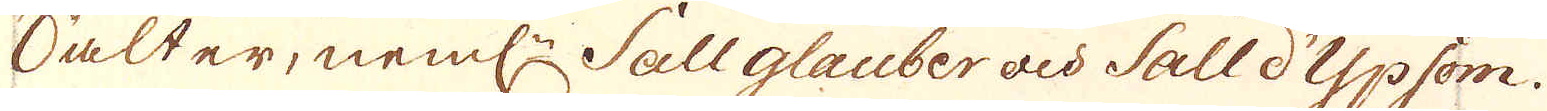Salter, neml:n Sall glauber och Sall d'Ypsom.
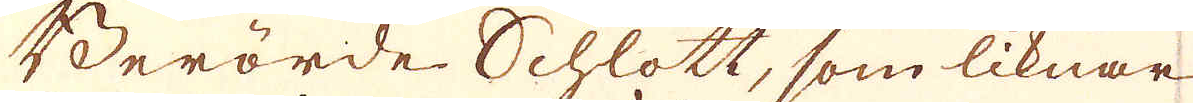Berörde Schlott, som liknar
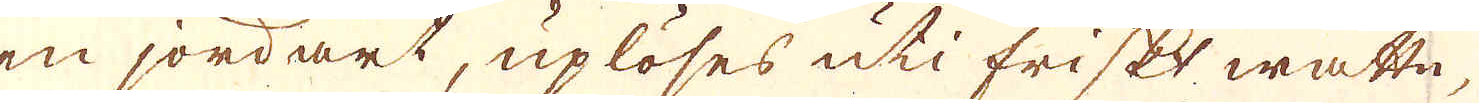en jordart, uplöses uti friskt wattn,
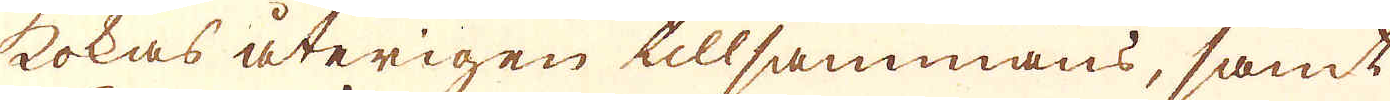kokas återigen tillsammans, samt
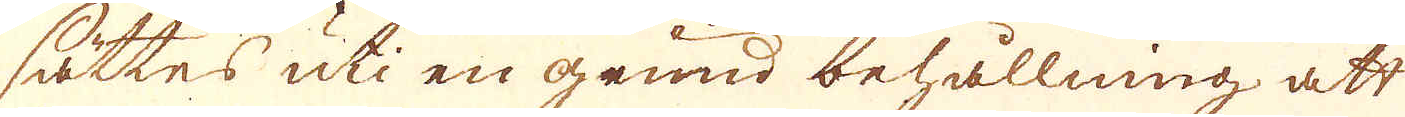sättes uti en grund behållning att
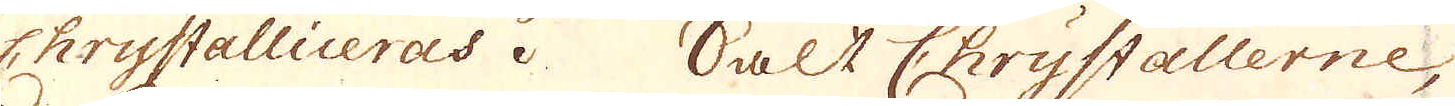Chrystalliceras. Salt Chrystallerne,
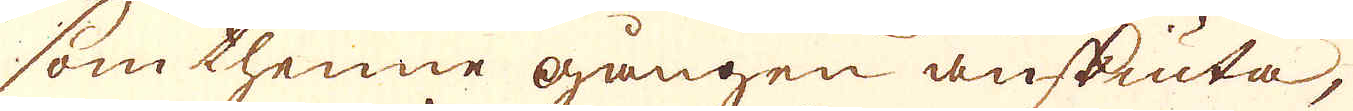som thenne gången anskiuta,
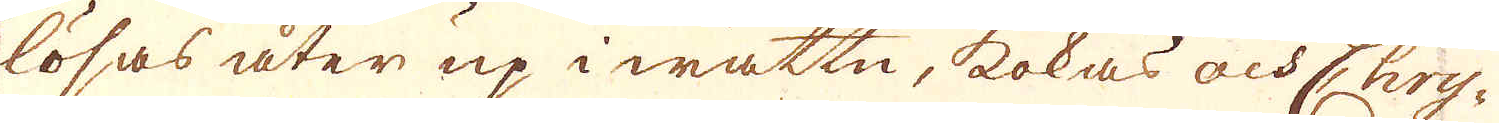lösas åter up i wattn, kokas och Chry-
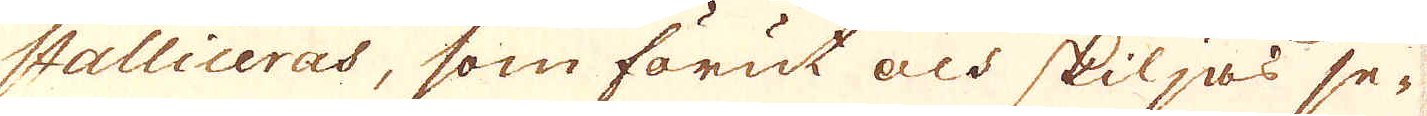stalliceras, som förut och skiljas se-
